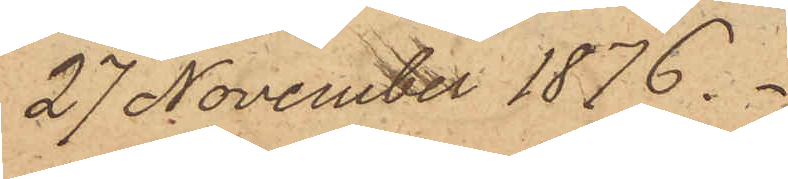27 November 1876.
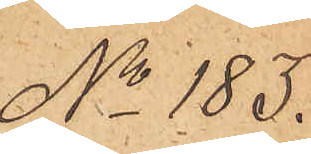No 183.
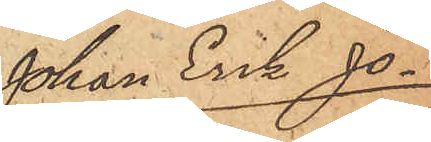Johan Erik Jo¬
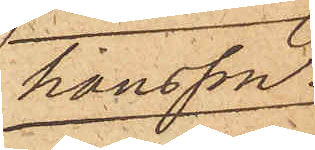hansson.
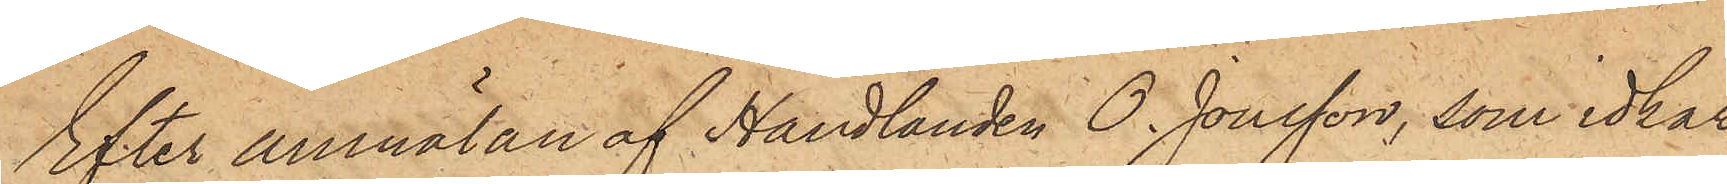Efter anmälan af Handlanden O. Jonsson, som idkar
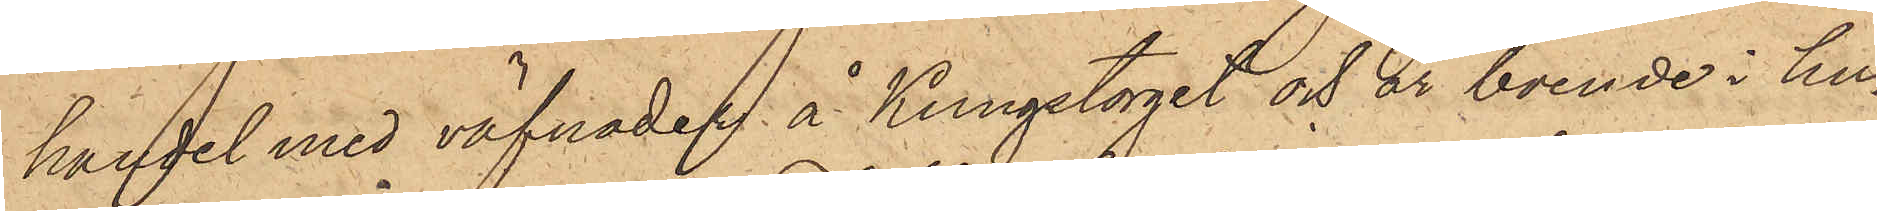handel med väfnaden å Kungstorget och är boende i hu¬
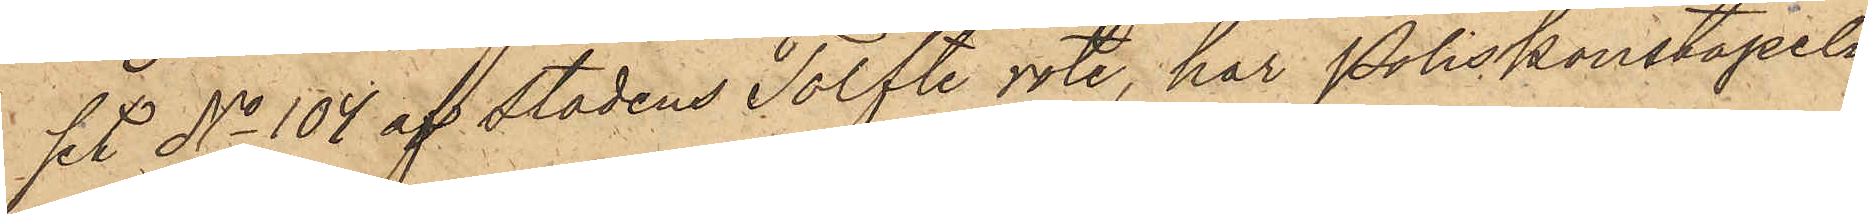set No 104 af stadens Tolfte rote, har Poliskonstapeln
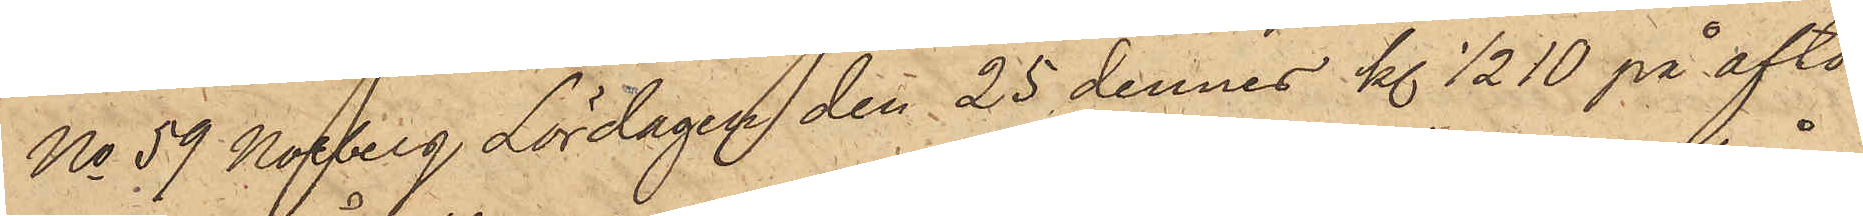No 59 Norberg Lördagen den 25 dennes kl 1/2 10 på afto¬
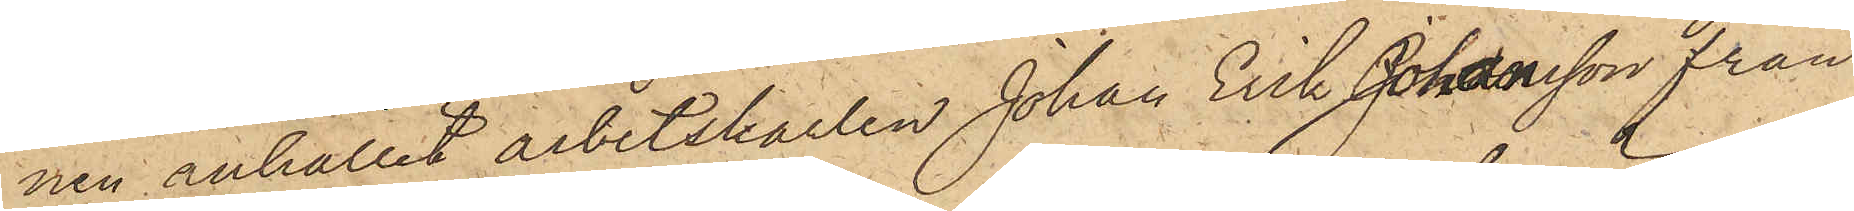nen anhållit arbetskarlen Johan Erik Johansson från
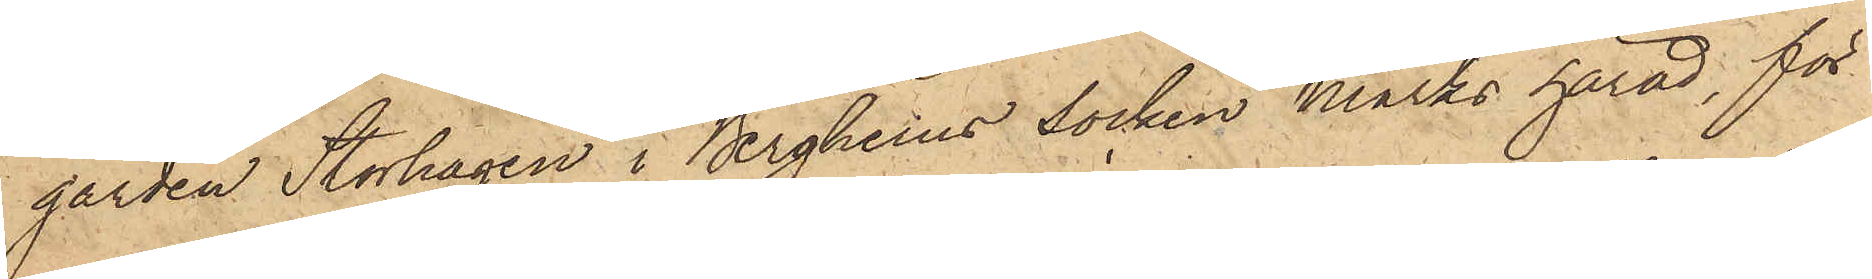gården Storhagen i Bergheims socken Marks härad, för
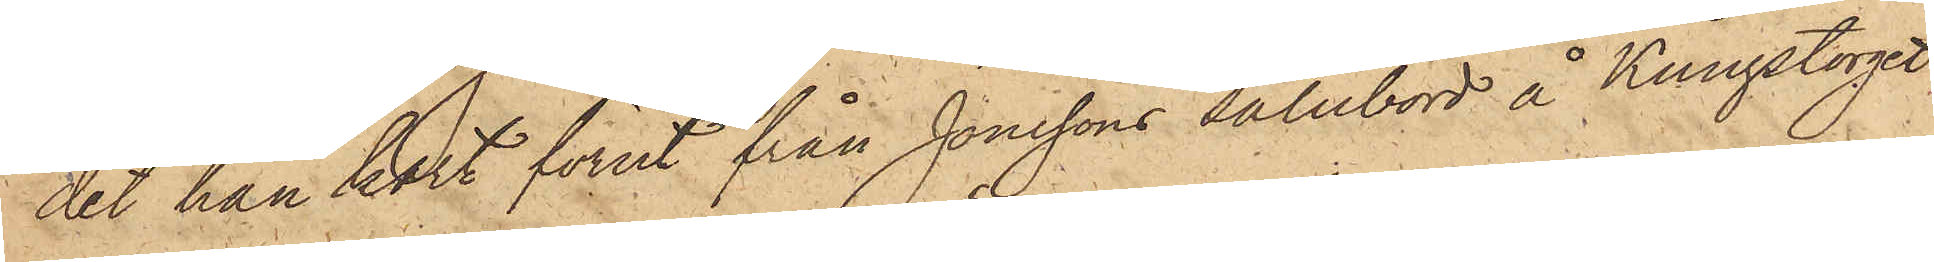det han kort förut från Jonssons salubord å Kungstorget
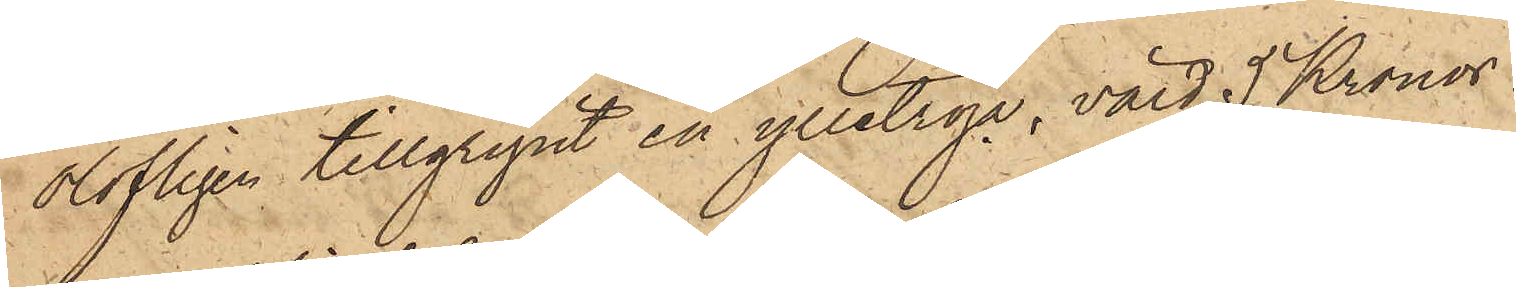olofligen tillgripit en ylletröja, värd 5 Kronor.
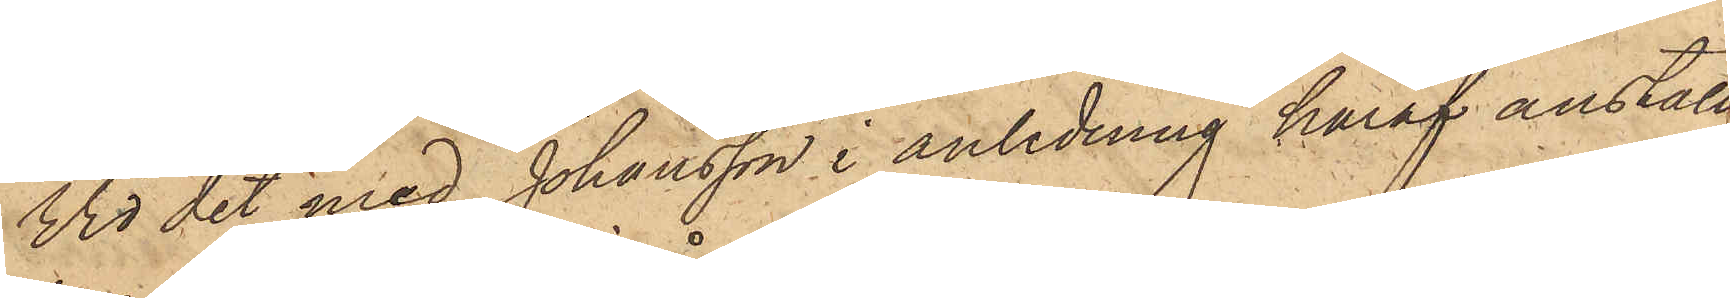Vid det med Johansson i anledning häraf anställ¬
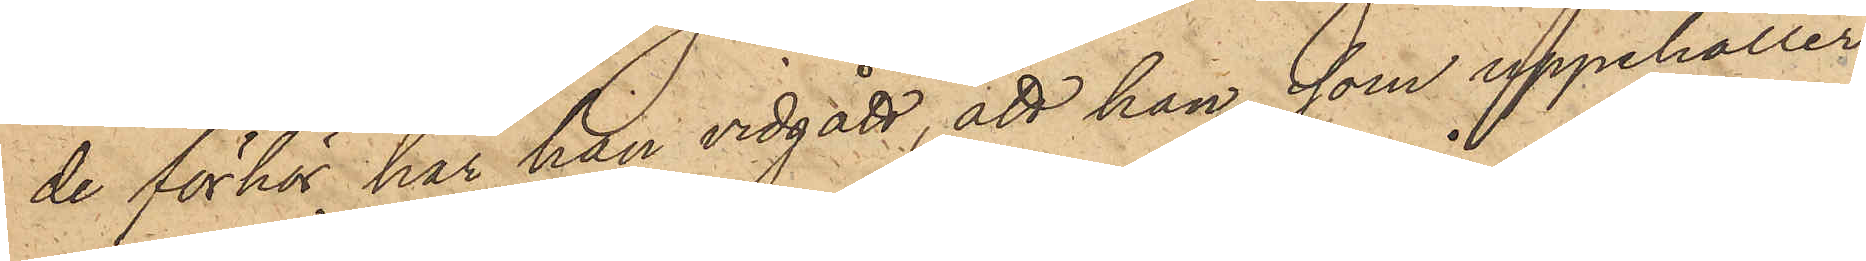de förhör, har han vidgått, att han, som uppehåller
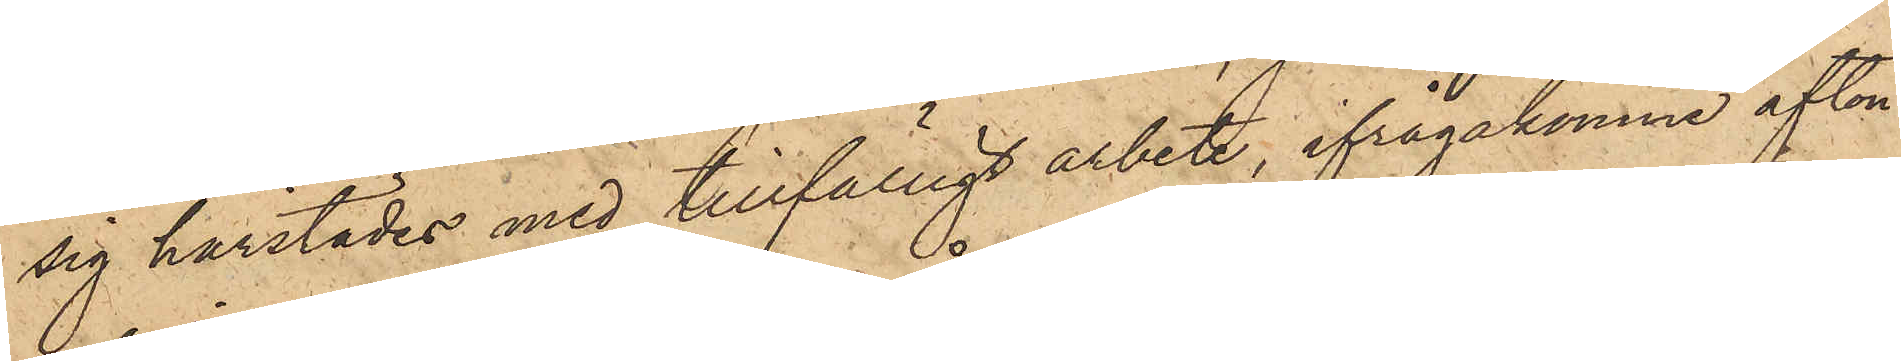sig härstädes med tillfälligt arbete, ifrågakomne afton
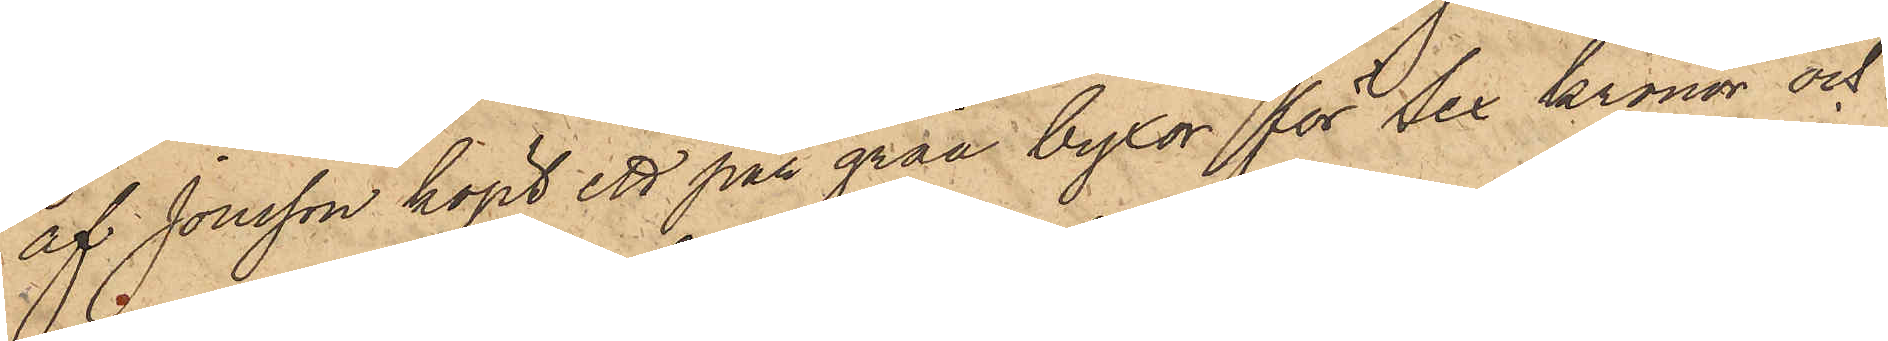af Jonsson köpt ett par gråa byxor för Sex Kronor och
